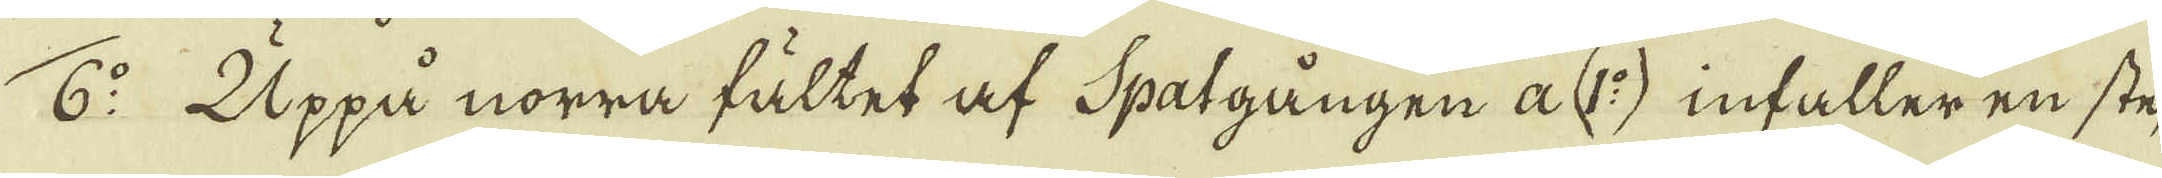6:o Uppå norra fältet af Spatgången a (1:o) infaller en ste-
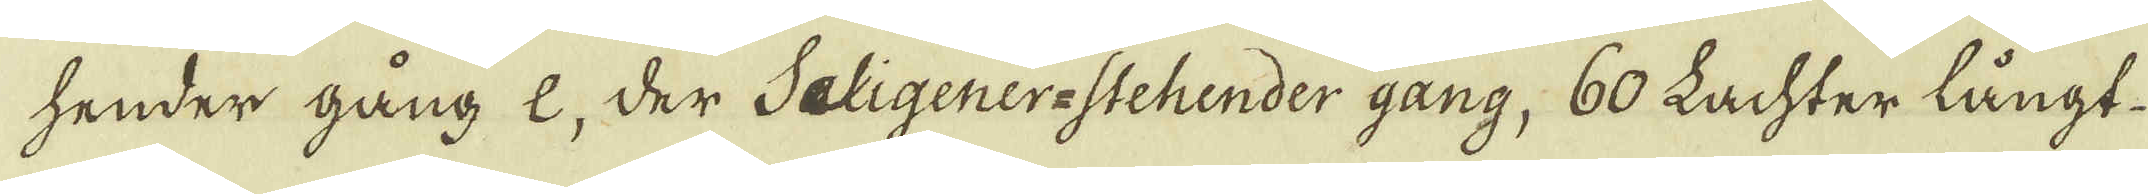hender gång e, der Saligener-stehender gang, 60 Lachter långt
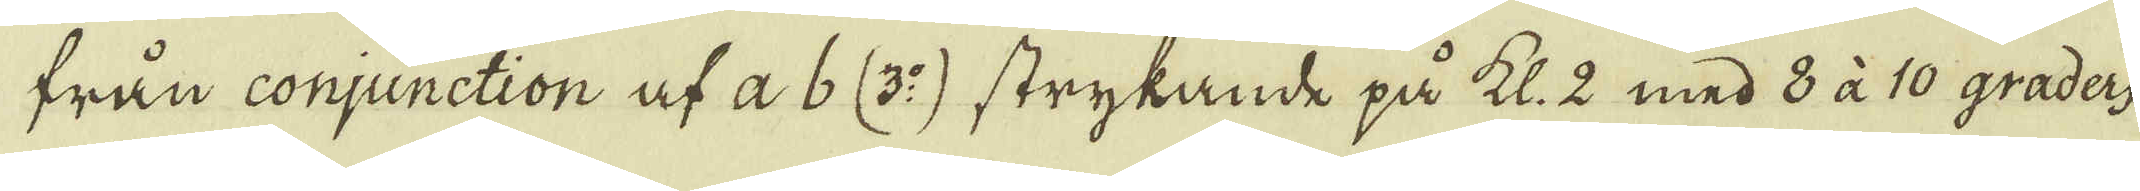från conjunction af a 6 (3:o) strykande på kl. 2 med 8 à 10 graders
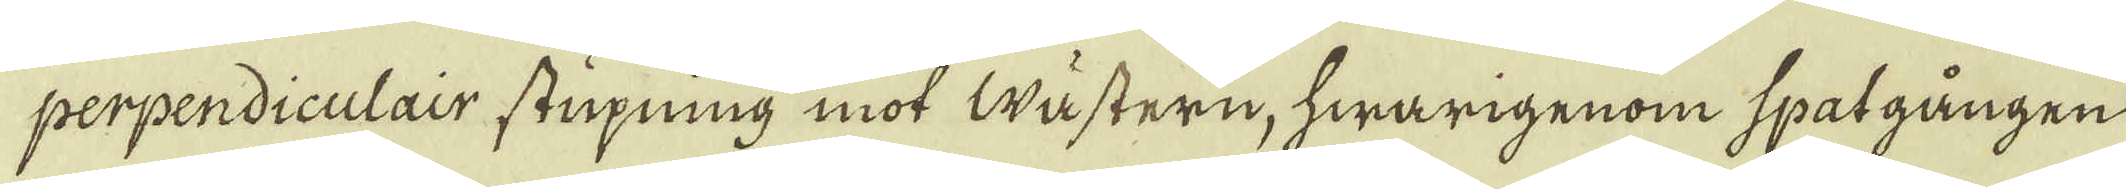perpendiculair stupning mot wästern, hwarigenom spatgången
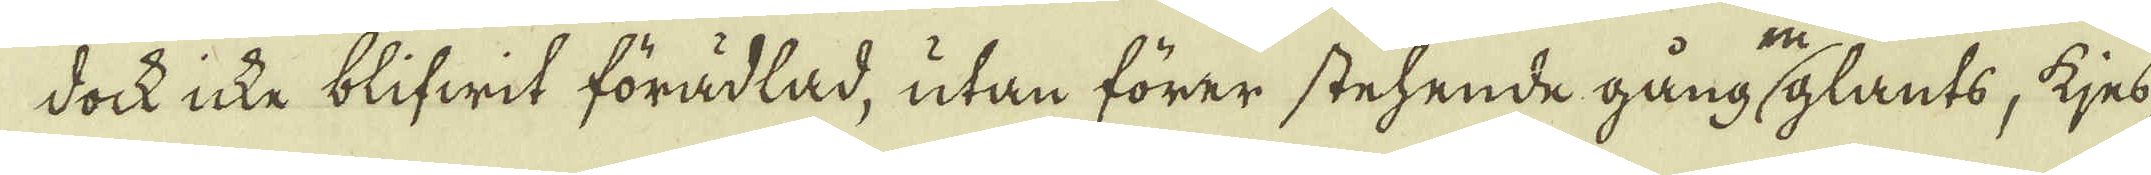doch icke blifwit förädlad, utan förer stehende gång glants, kjes,
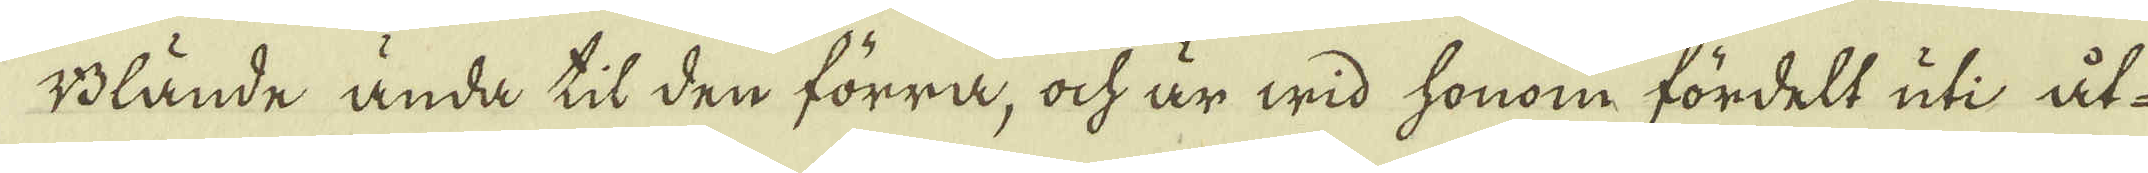Blände ända til den förra, ock är wid honom fördelt uti åt-
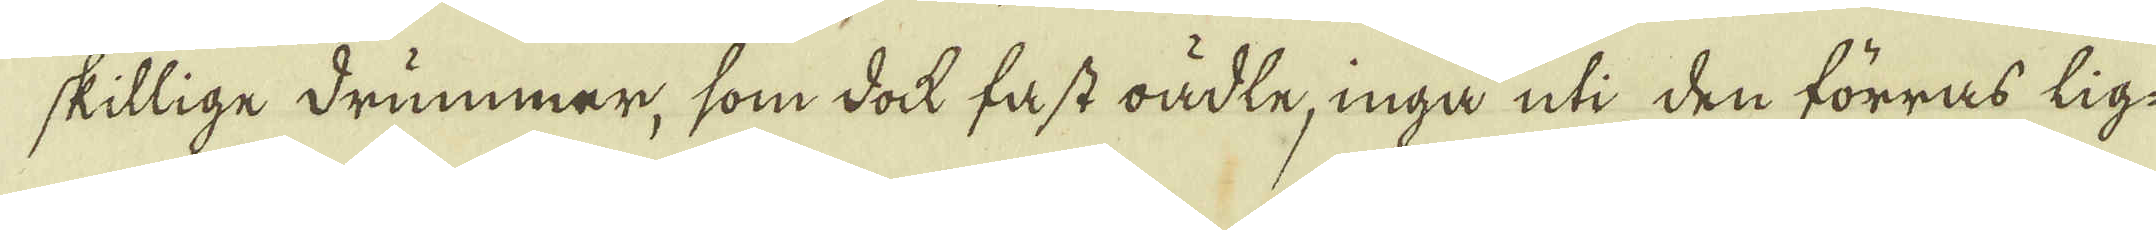skillige drummar, som dock fast oädte, inga uti den förras lig-
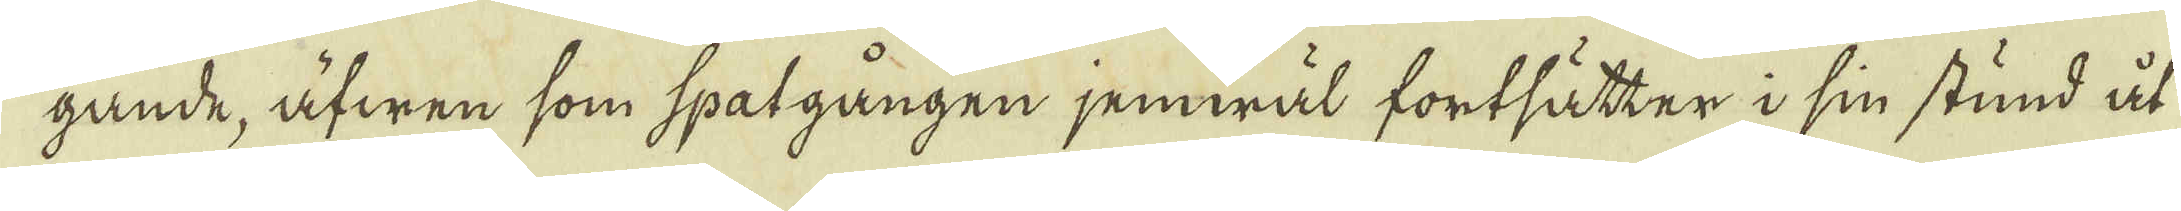gande, äfwen som spatgången jemwäl fortsätter i sin stund åt
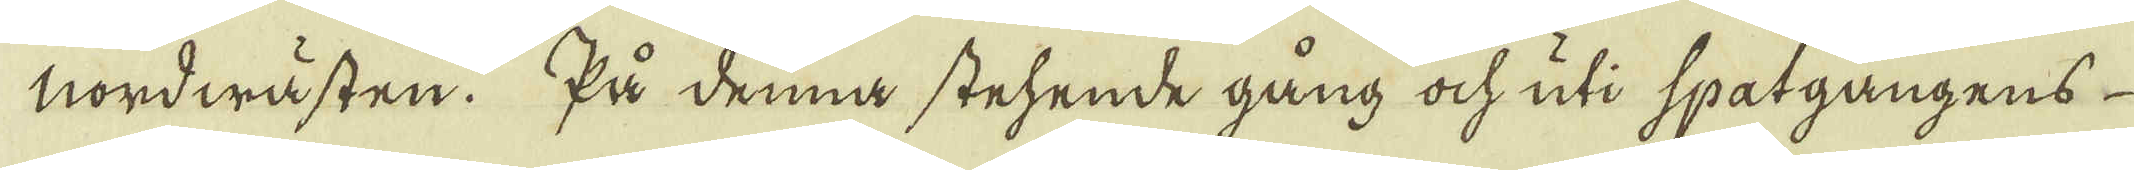nordwästen. På denna stehende gång ock uti spatgångens
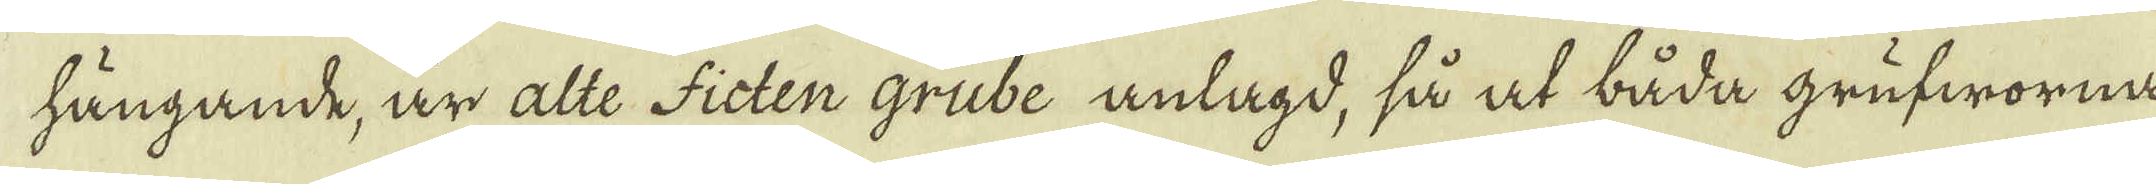hängande, är alte Ficten grube anlagd, så at båda grufworna
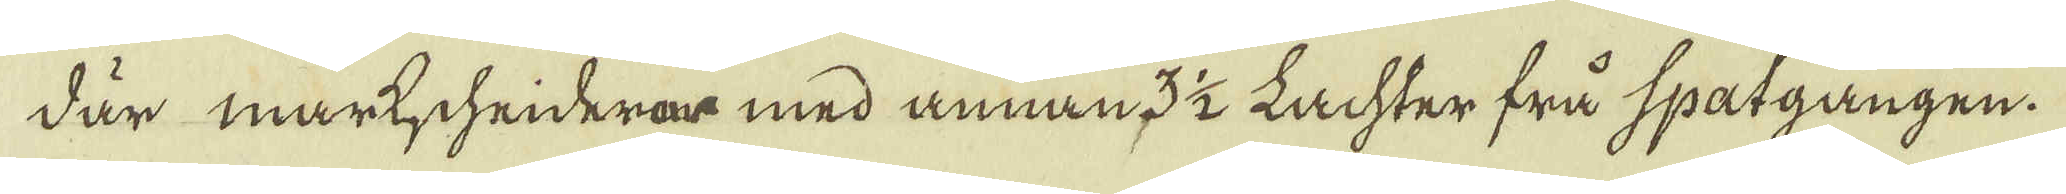där markscheiderar med annan 3 1/2 Lachter frå spatgången.
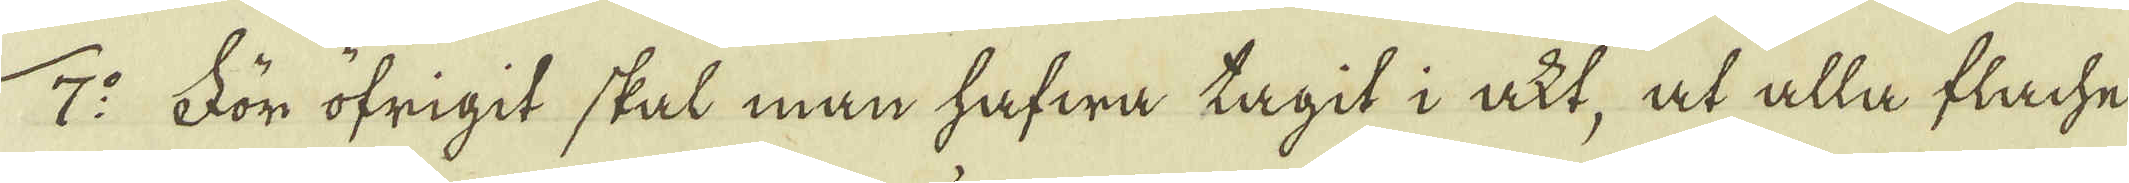7:o För öfrigit skal man hafwa tagit i akt, at alla flache
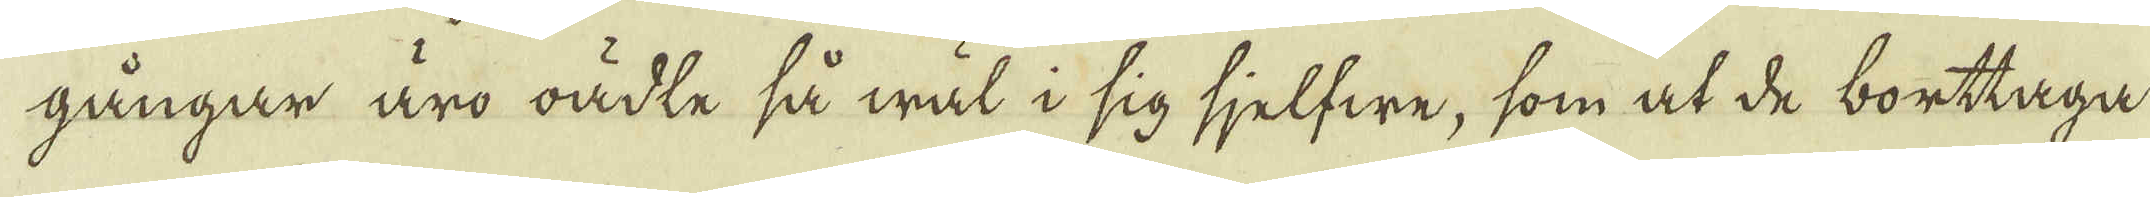gångar äro oädte så wäl i sig sjelfwe, som at de borttaga
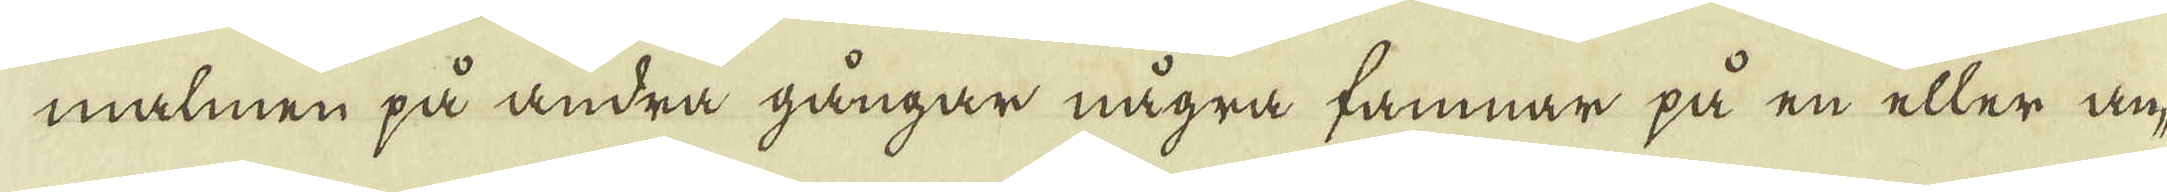malmen på andra gångar några famnar på en eller an-
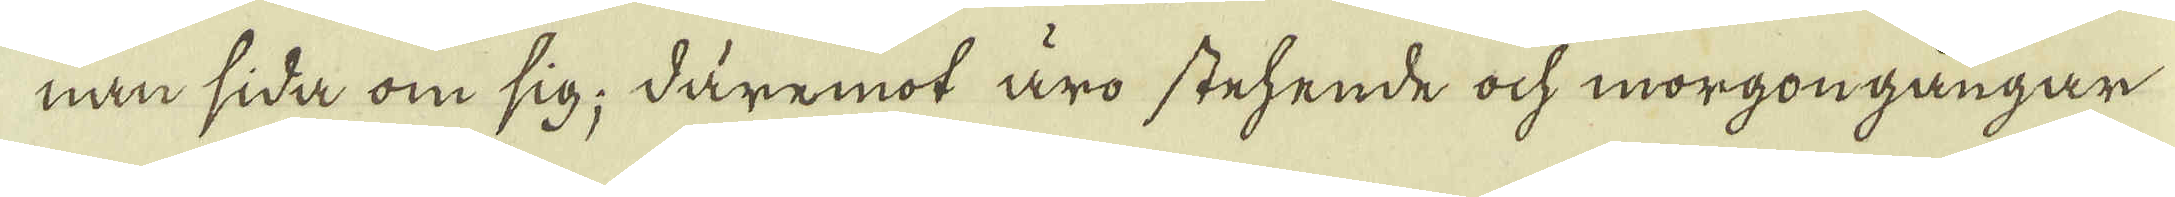nan sida om sig; däremot äro stehende ock morgongångar
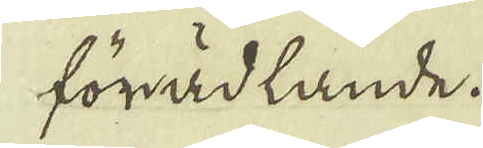förädlande.
